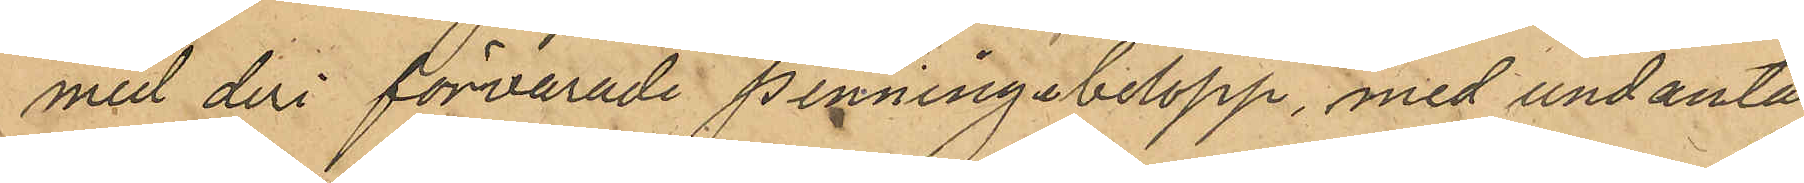med deri förvarade penningebelopp, med undantag
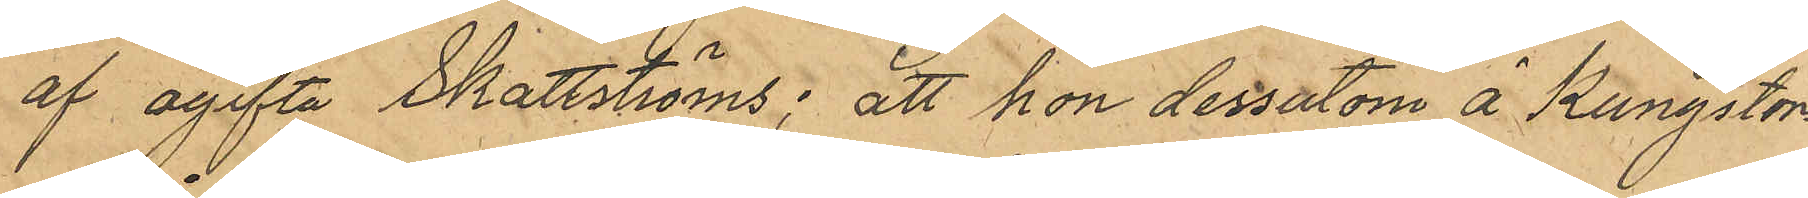af ogifta Skattströms; att hon dessutom å Kungstor¬
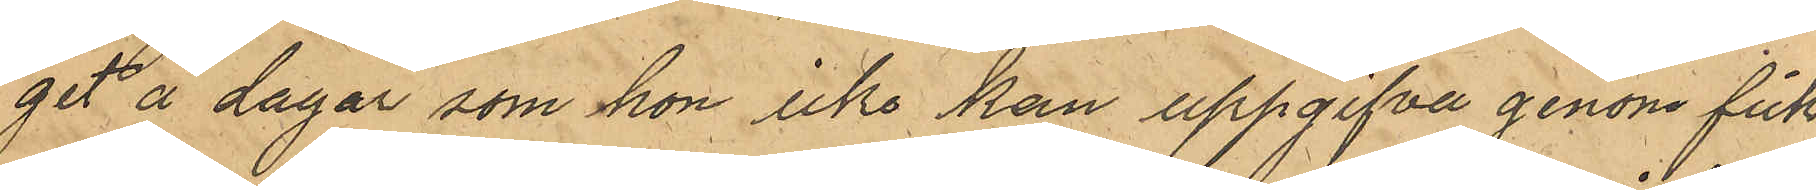get å dagar som hon icke kan uppgifva genom fick¬
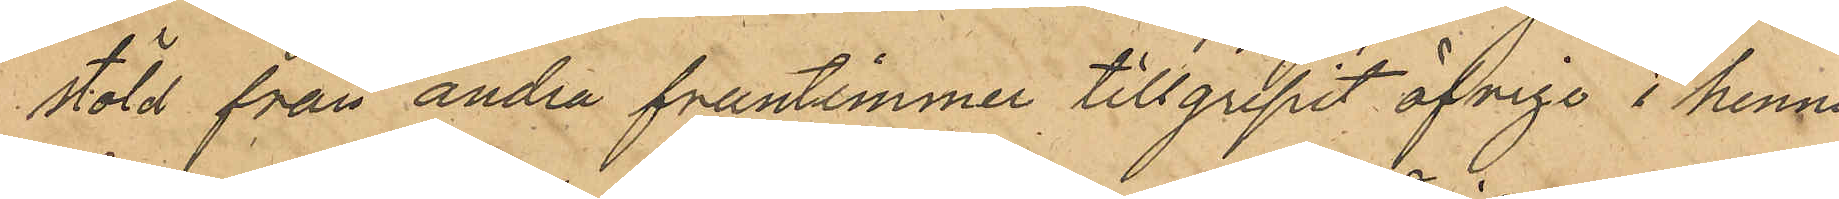stöld från andra fruntimmer tillgripit öfrige i hennes
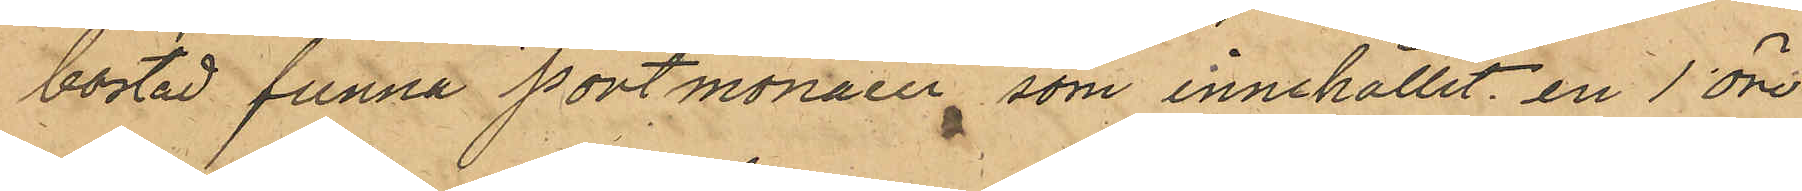bostad funna portmonaier som innehållit en 1 öre,
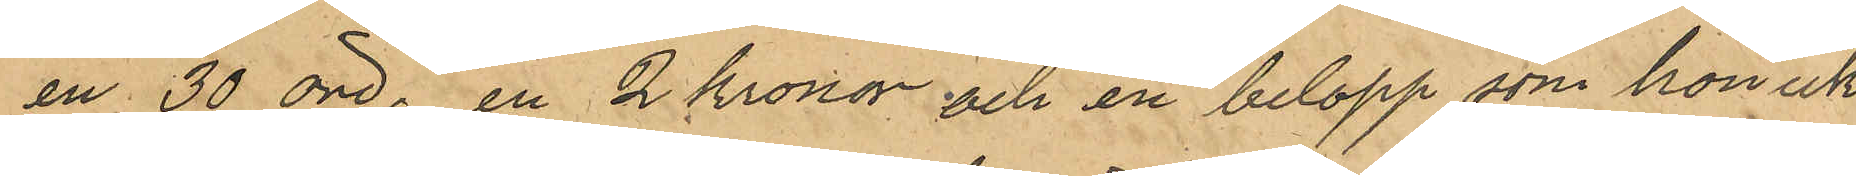en 30 öre, en 2 kronor och en belopp som hon icke
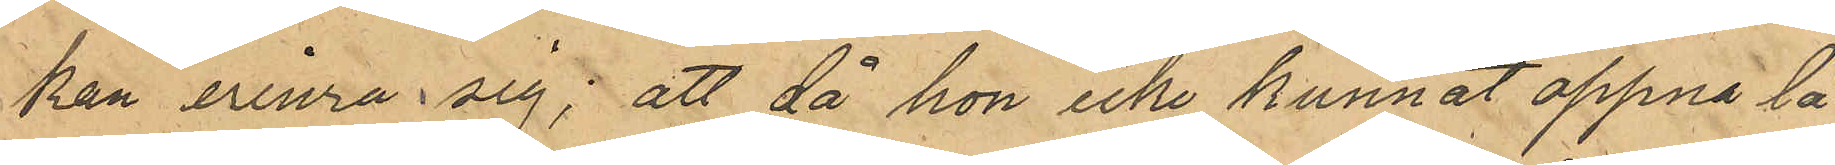kan erinra sig; att då hon icke kunnat öppna lå¬
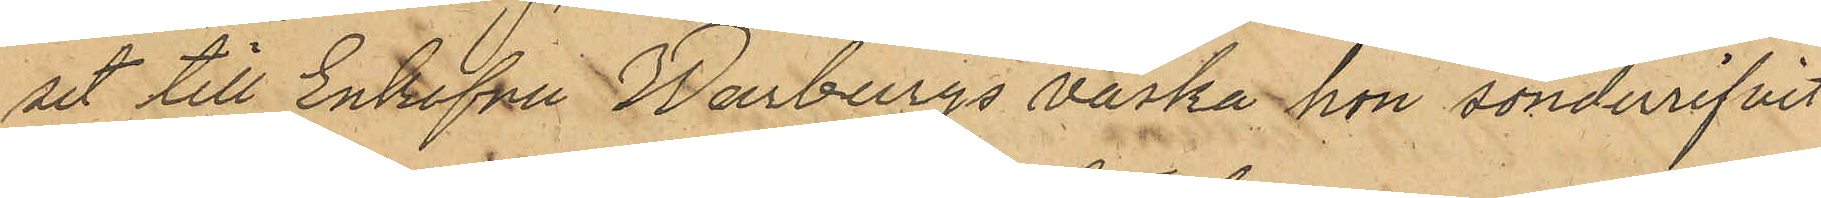set till Enkefru Warburgs väska hon sönderrifvit
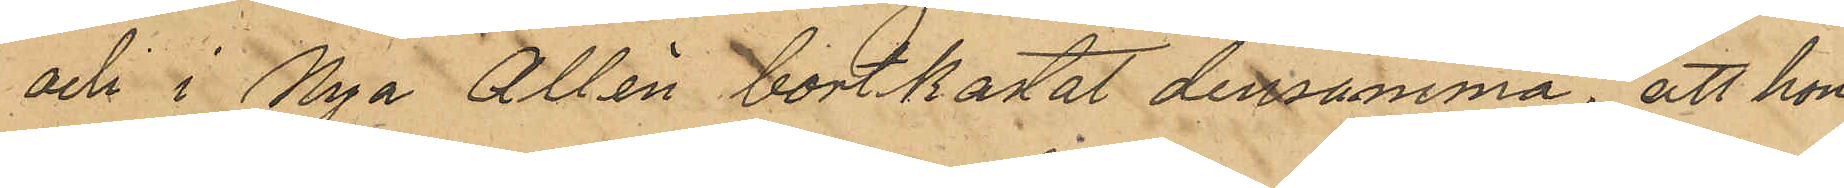och i Nya Allèn bortkastat densamma, att hon
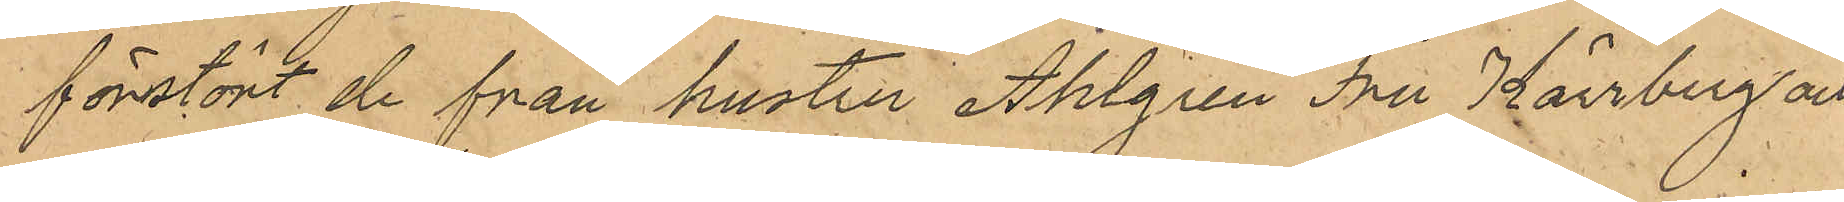förstört de från hustru Ahlgren Fru Kärrberg och
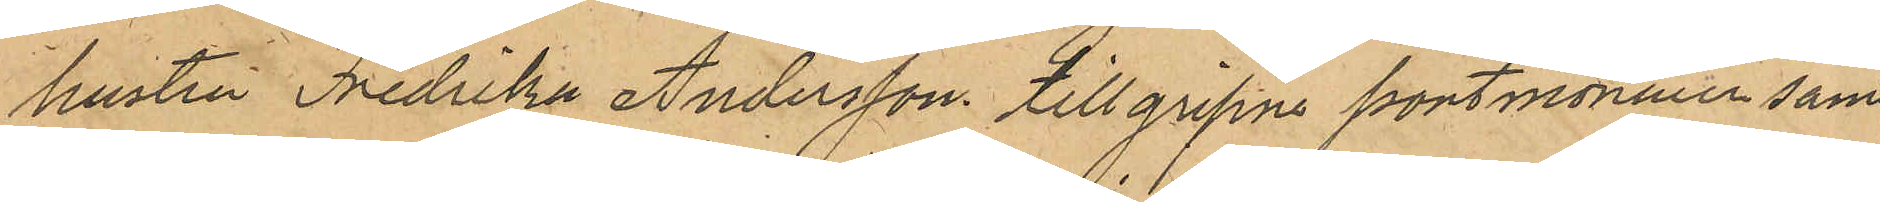hustru Fredrika Andersson tillgripne portmonaier samt
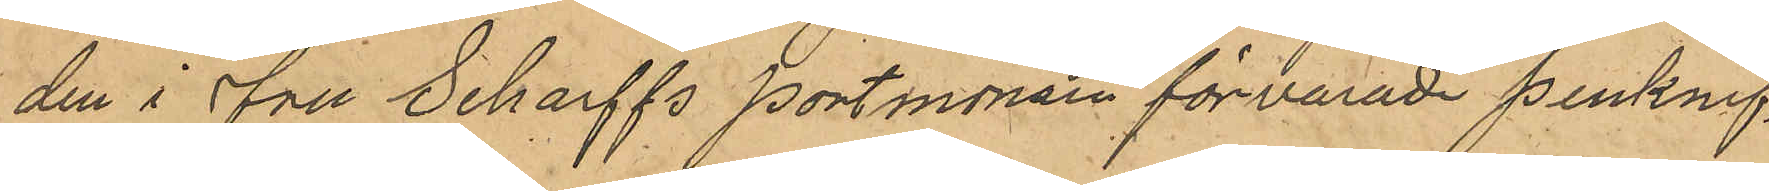den i fru Scharffs portmonain förvarade penknif;
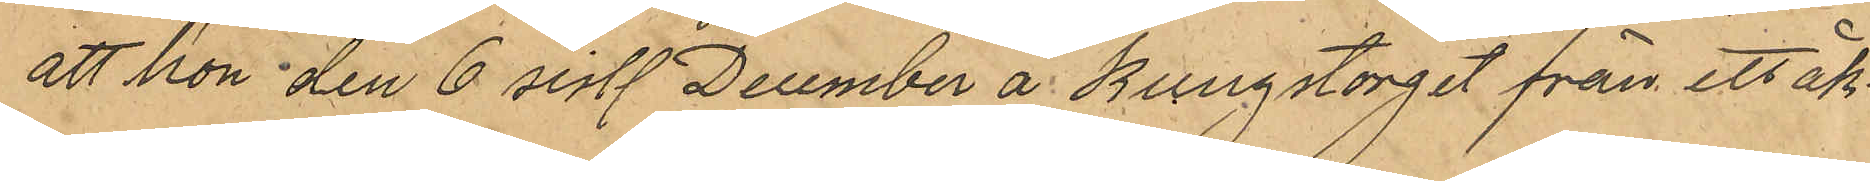att hon den 6 sist. December å Kungstorget från ett åk¬
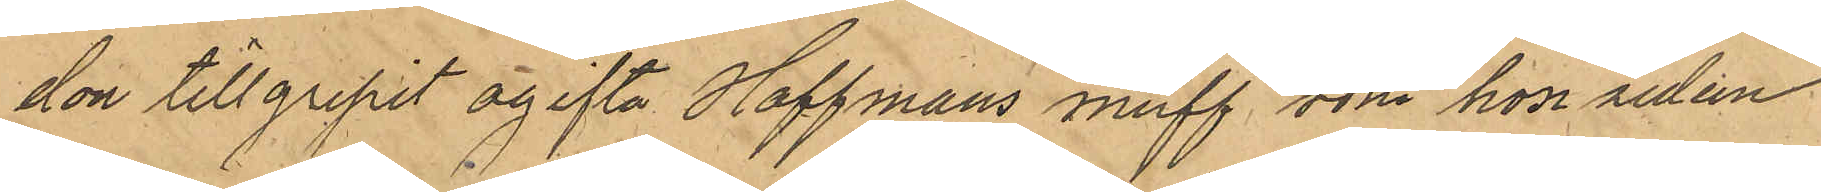don tillgripit ogifta Hoffmans muff som hon sedan
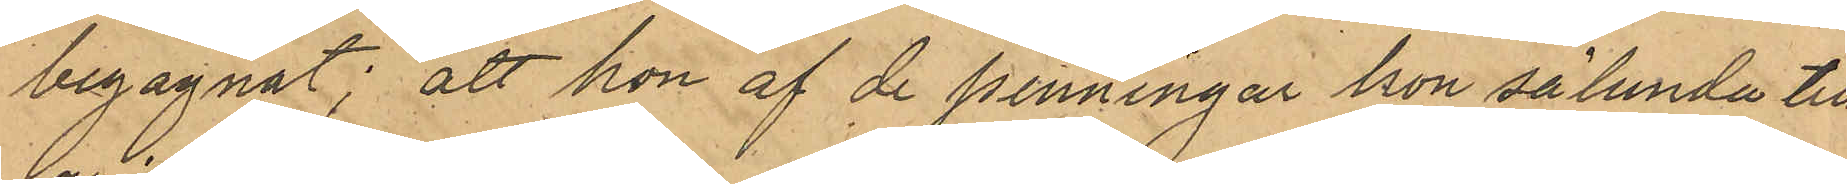begagnat; att hon af de penningar hon sålunda till¬
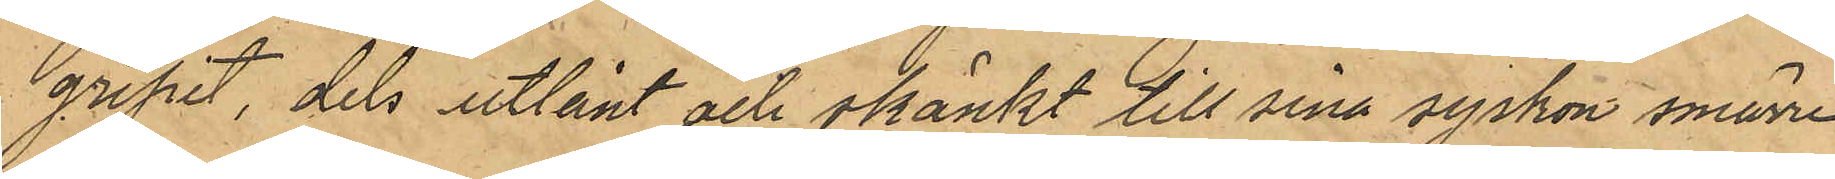gripit, dels utlånt och skänkt till sina syskon smärre 
